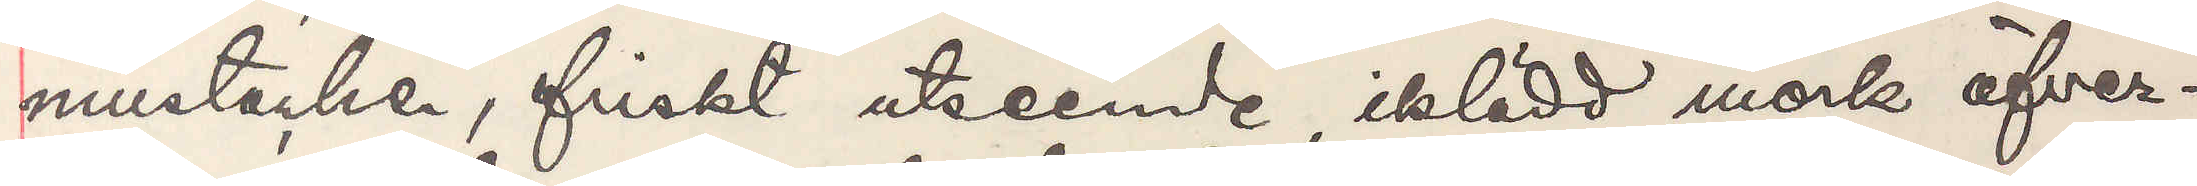mustacher, friskt utseende, iklädd mörk öfver¬
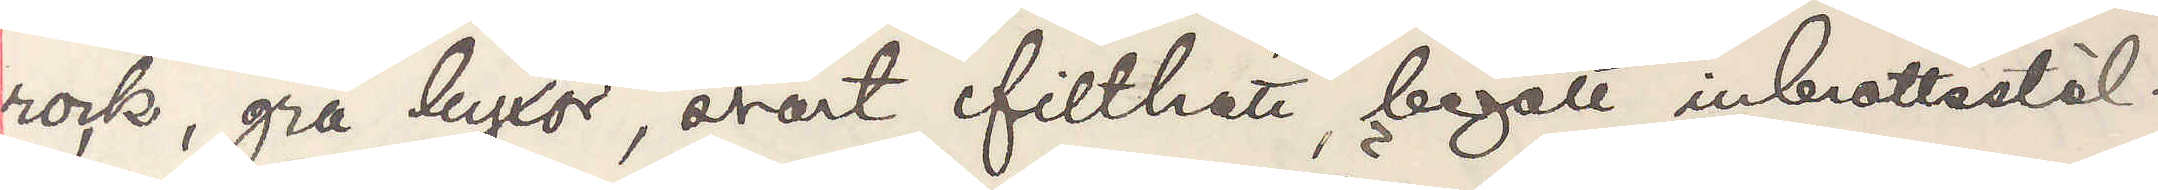rock, grå byxor, svart filthatt, begått inbrottstöl¬
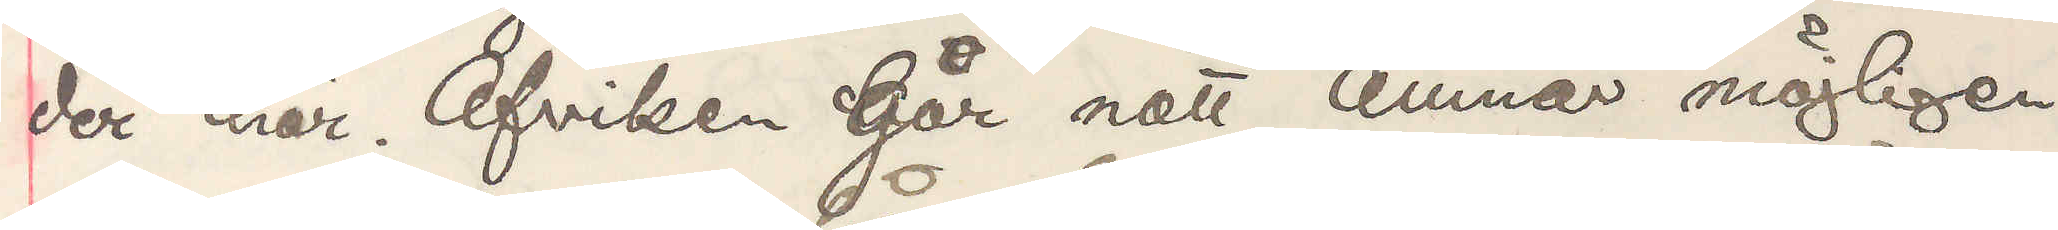der här. Afviken Går natt. Ämnar möjligen
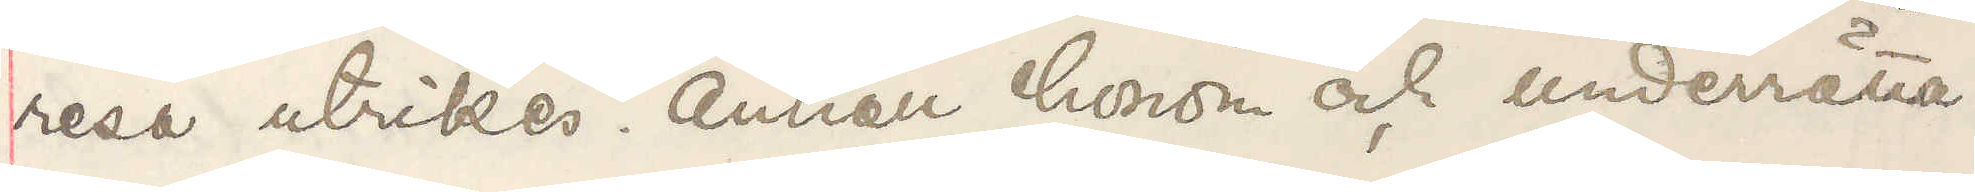resa utrikes. Anhåll honom och underrätta
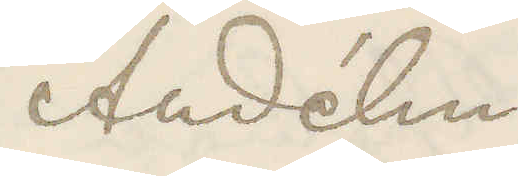Andéhn
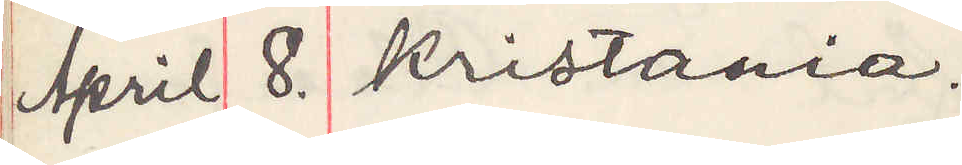April 8. Kristiania.
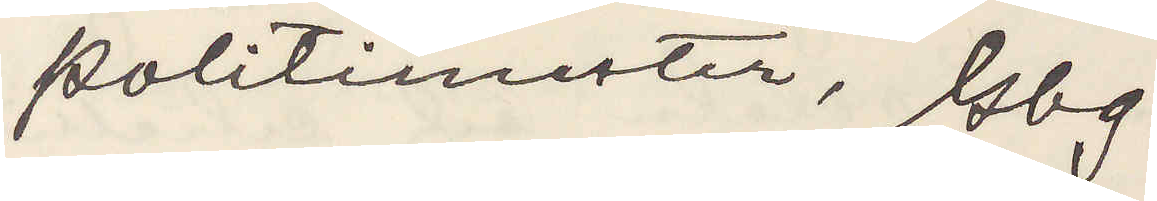Politimester, Gbg.
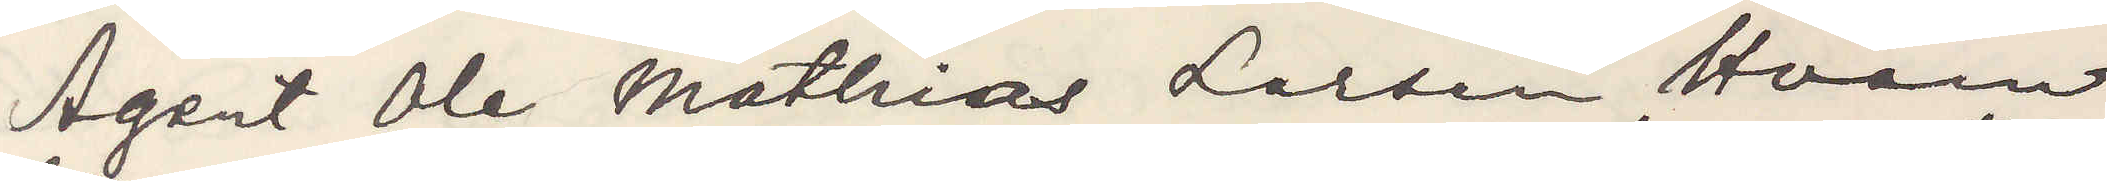Agent Ole Mathias Larsen Hvann
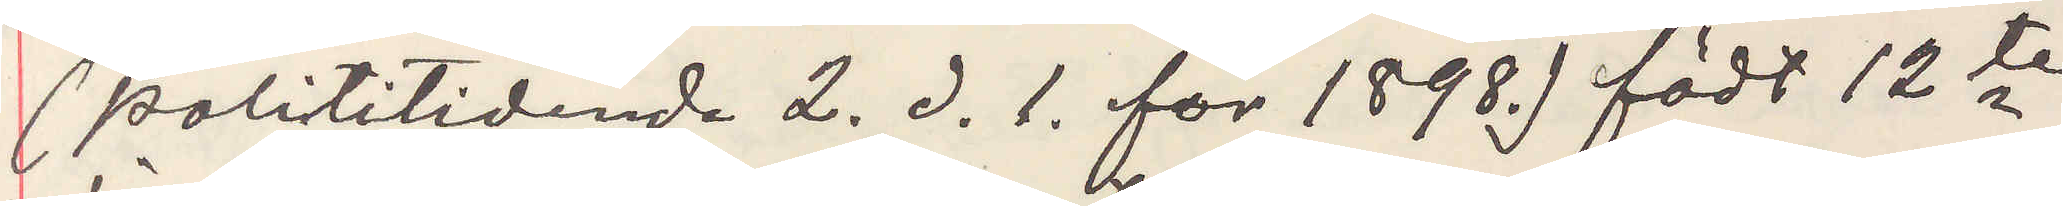(Polititidene 2. d. 1. for 1898.) födt 12te
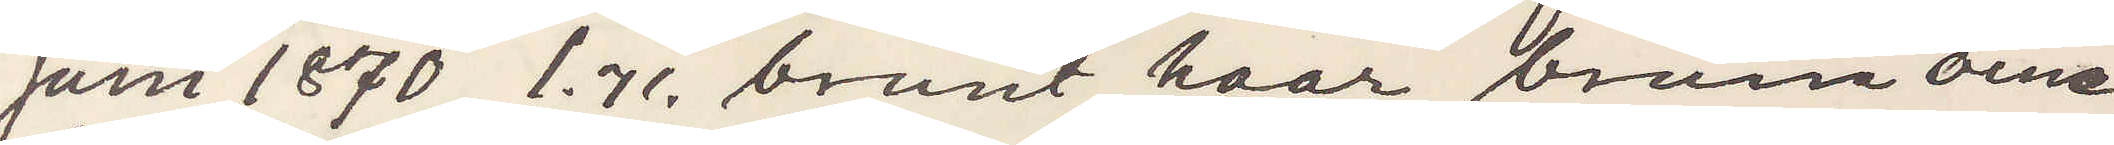juni 1870, 1,71, brunt haar, brune öine,
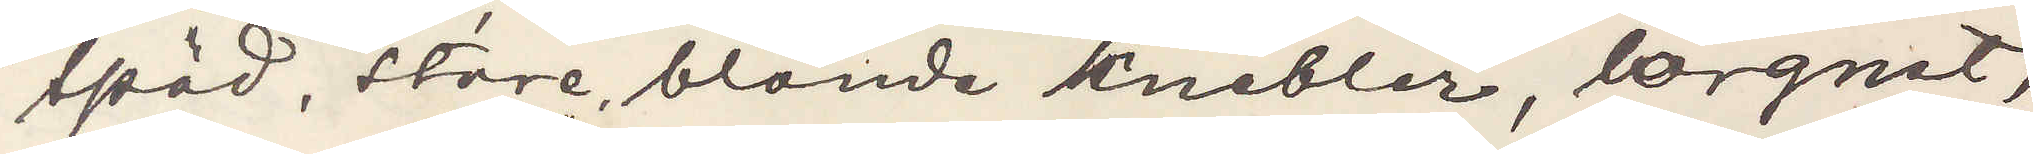späd, store, blonde knebler, lorgnet,
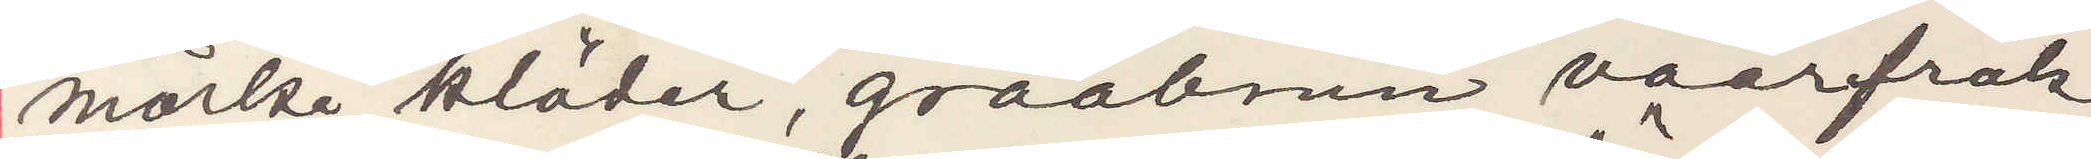mörke kläder, graabrune vaerfrak,
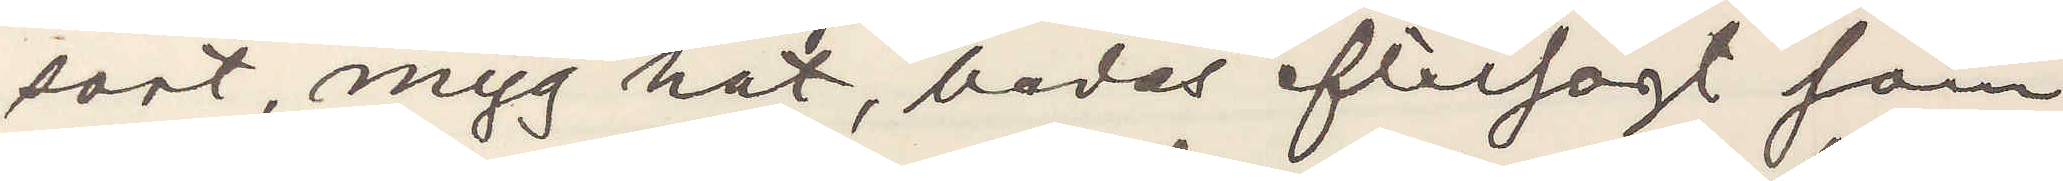sort, myg hat, bedes eftersögt som
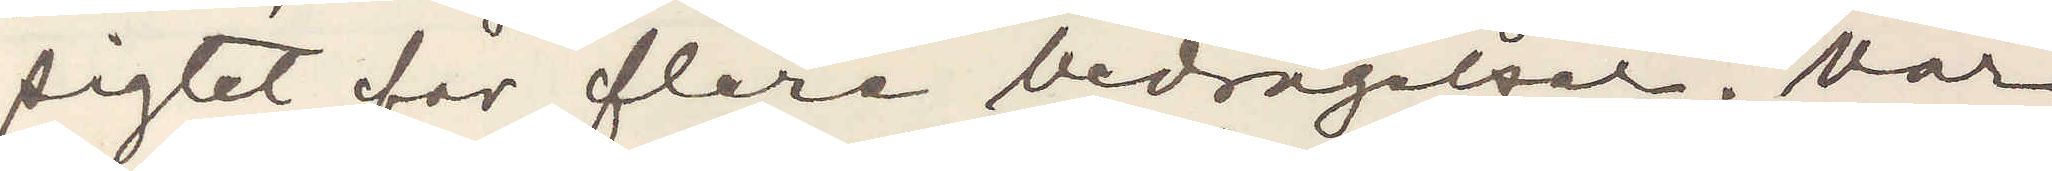sigtet for flere bedragelser. Var
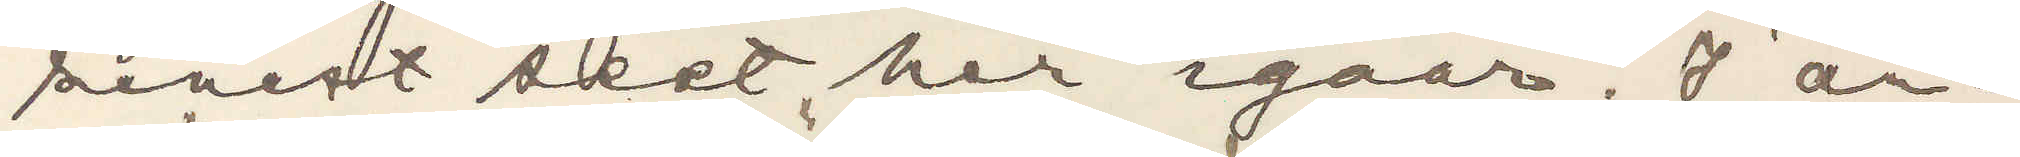senest seet har igaar. I an¬
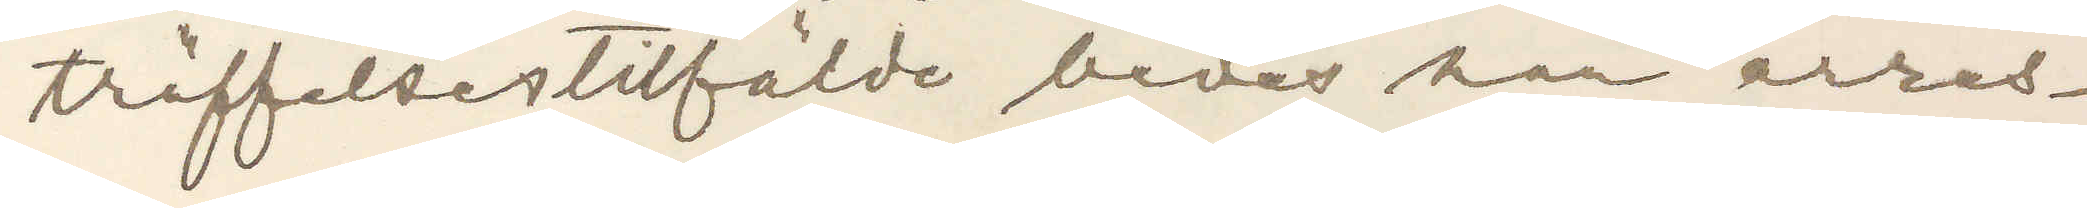träffelsestilfälde bede han arres¬
